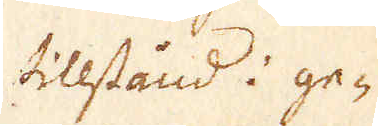tillstånd i ge-
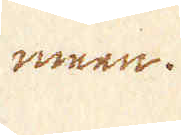meen.
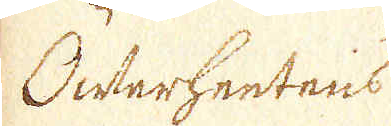Öfwerhetens
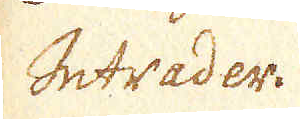Intrader.
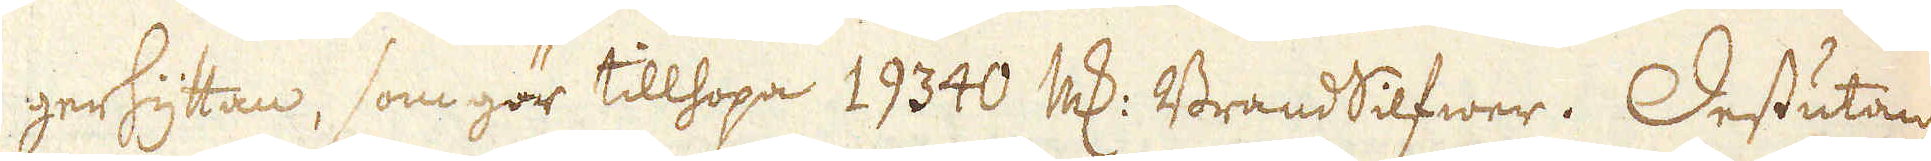gerhyttan, som gör tillhopa 19340 marker BrandSilfwer. Dessutan
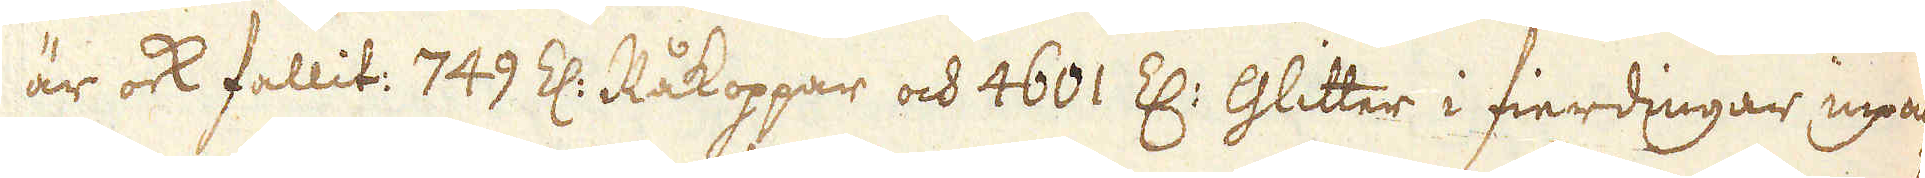är ock fallit: 749 Z: Råkoppar och 4601 Z: Glitter i fierdingar inpac-
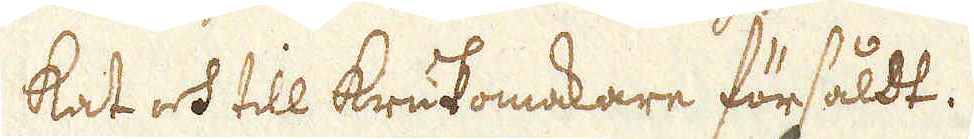kat och till krukomakare försåldt.
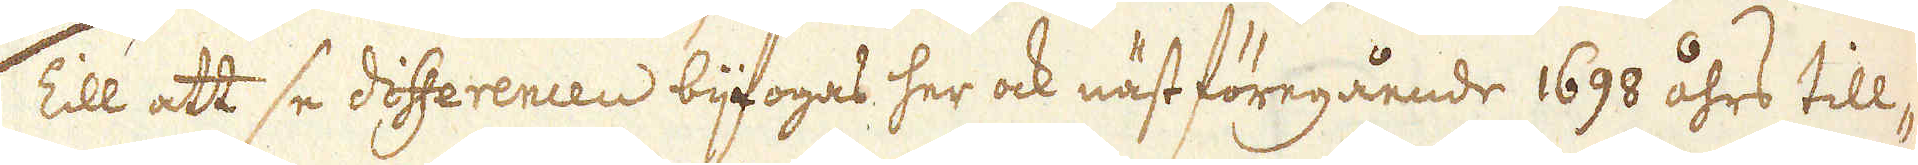Till att se differencen bijfogas her ock näst föregående 1698 åhrs till-
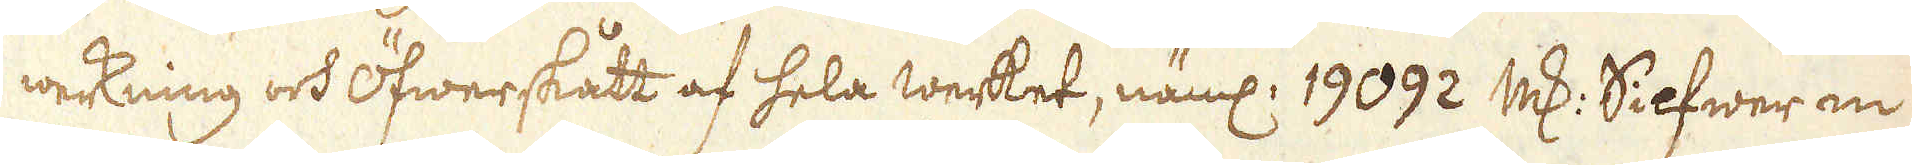werkning och Öfwerskått af hela werket, näml: 19092 marker Silfwer in
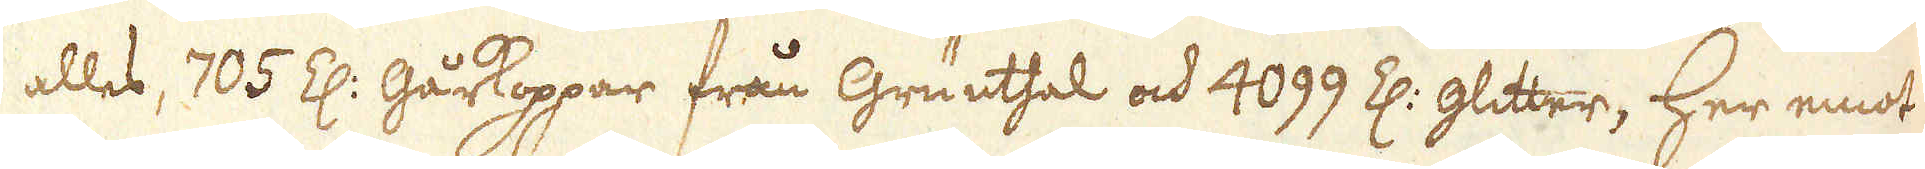alles, 705 Z: Gårkoppar från Grunthal och 4099 Z: glitter, Her emot
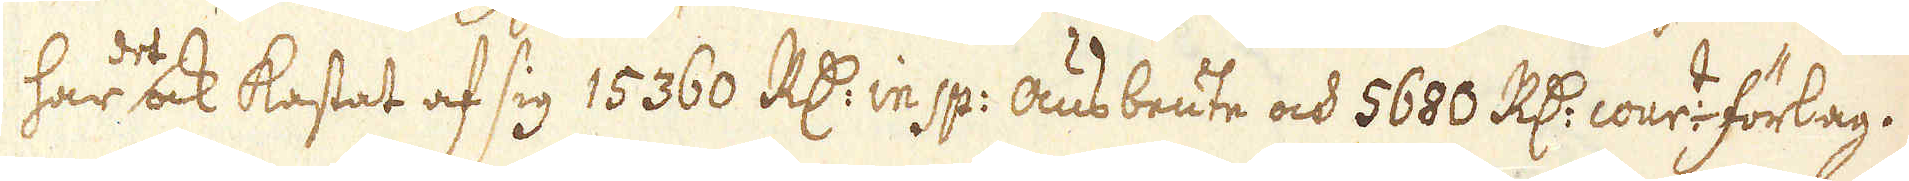har de ock kastat af sig 15 360 R:dr in sp: ausbeute och 5680 R:dr cour:t förlag.
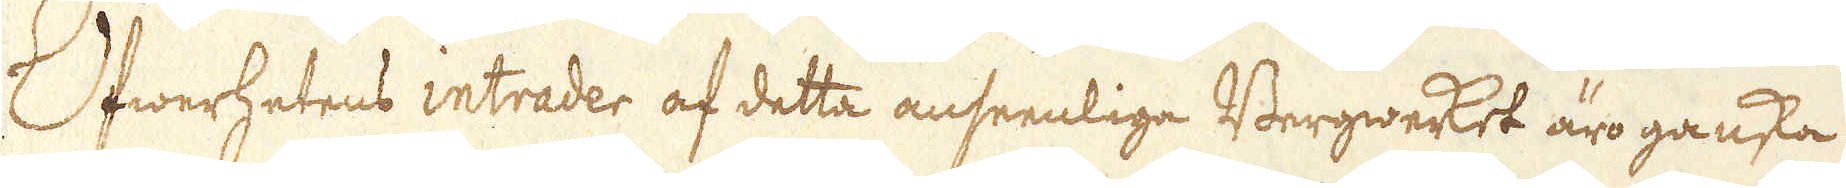Öfwerhetens intrader af detta anseenliga Bergwerket äro ganska
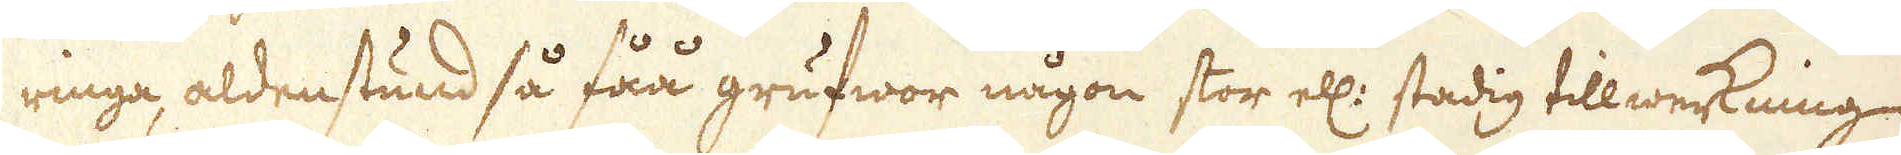ringa, aldenstund så fåå grufwor någon stor ell: stadig tillwerkning
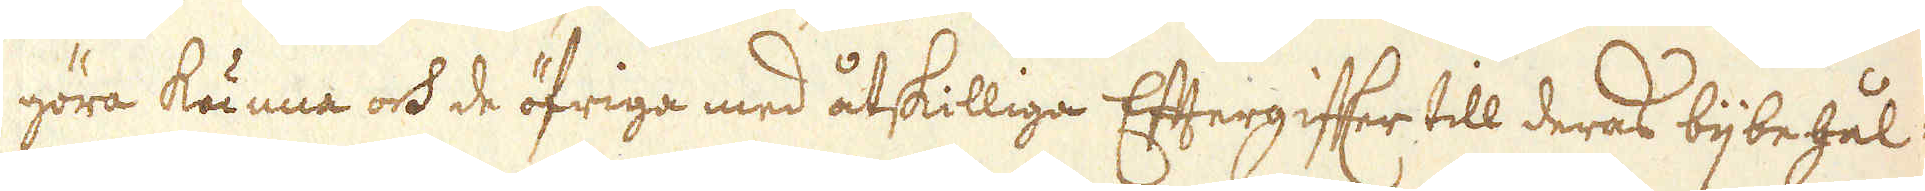göra kunna och de öfriga med åtskilliga Eftergiffer till deras bijbehål-
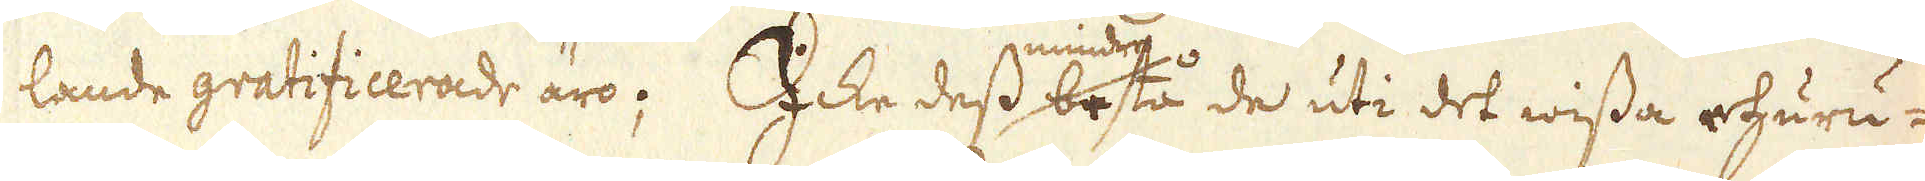lande gratificerade äro; Icke dess mindre bestå de uti det wissa ehuru-
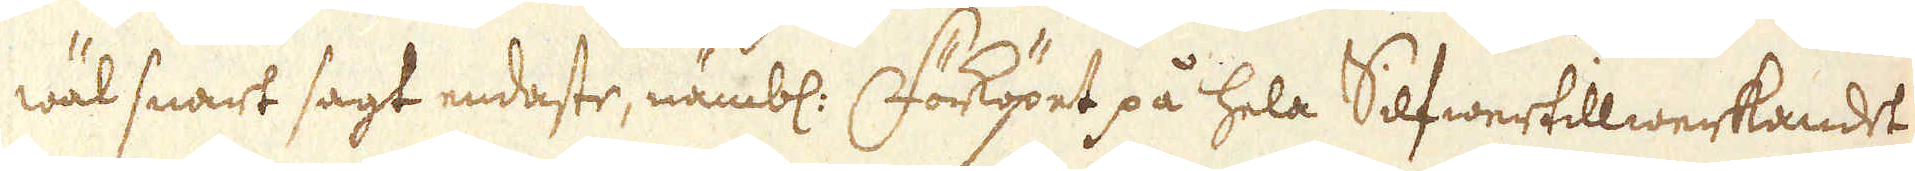wäl snart sagt endaste, nämbl. Förköpet på hela Silfwertillwerkandet,
